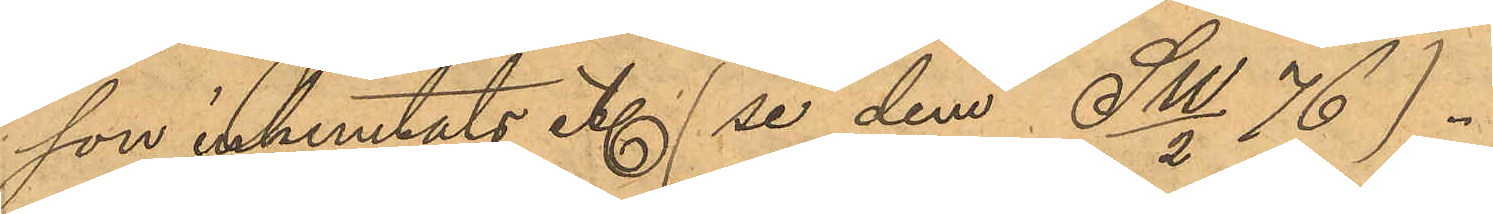son inhemtats ett (se dem SW/2 76)..
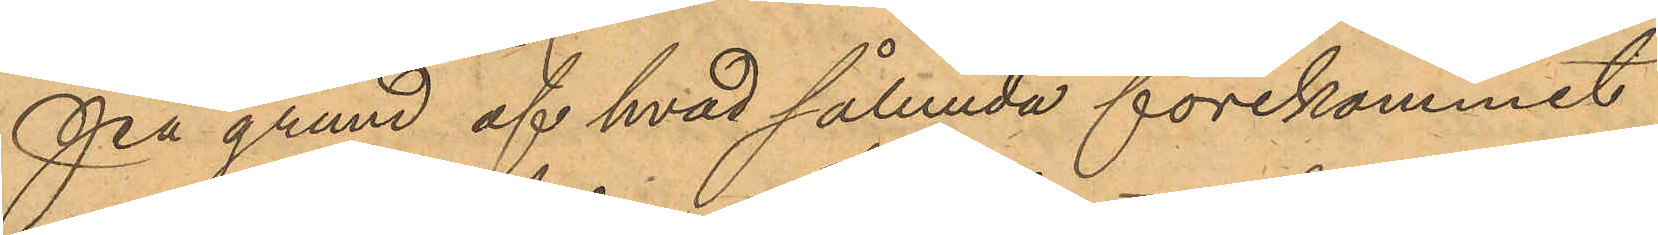På grund af hvad sålunda förekommit
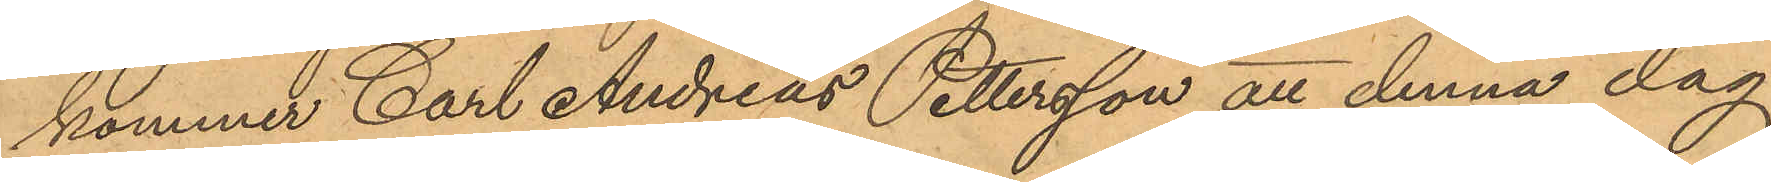kommer Carl Andreas Pettersson att denna dag
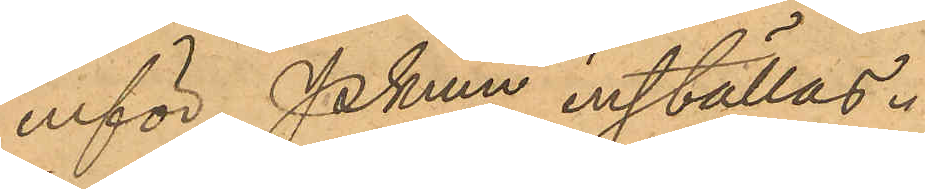inför Pkmn inställas.
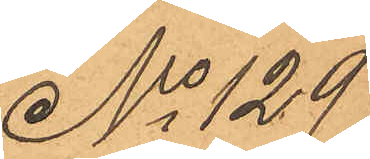No 129
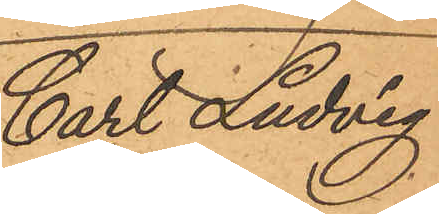Carl Ludvig
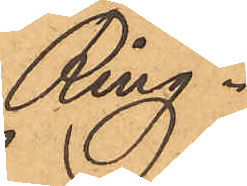Ring.
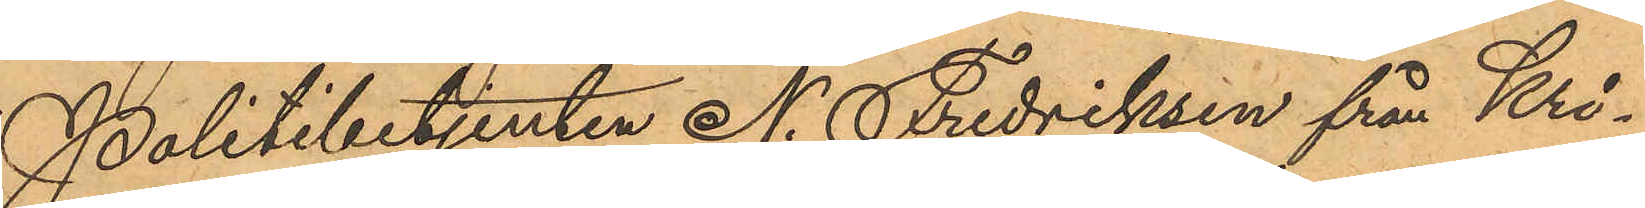Politibetjenten N. Fredriksen från Kri¬
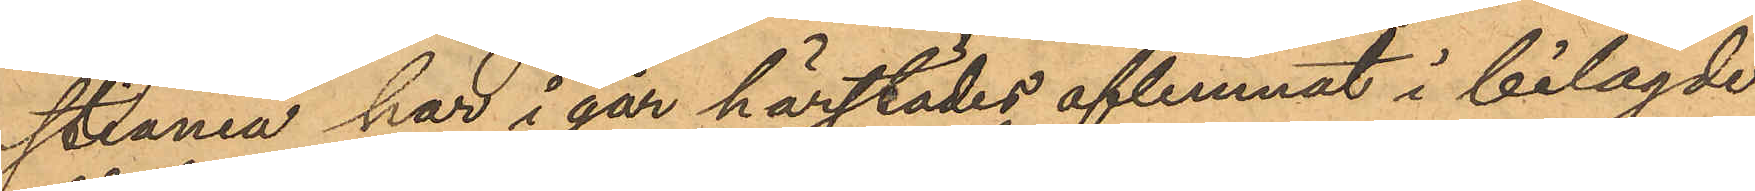stiania har i går härstädes aflemnat i belagde
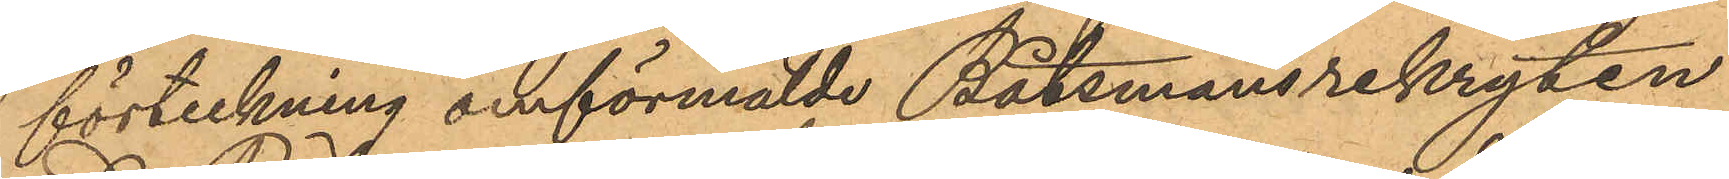förteckning omförmälde Båtsmansrekryten
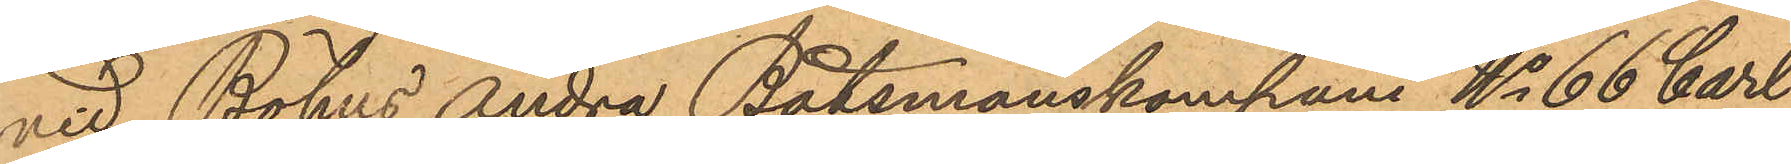vid Bohus Andra Båtsmanskompani No 66 Carl
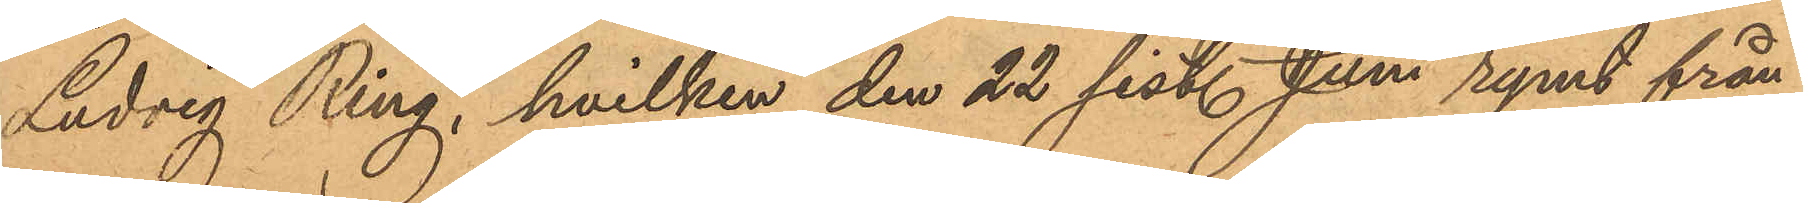Ludvig Ring, hvilken den 22 sistl. Juni rymt från
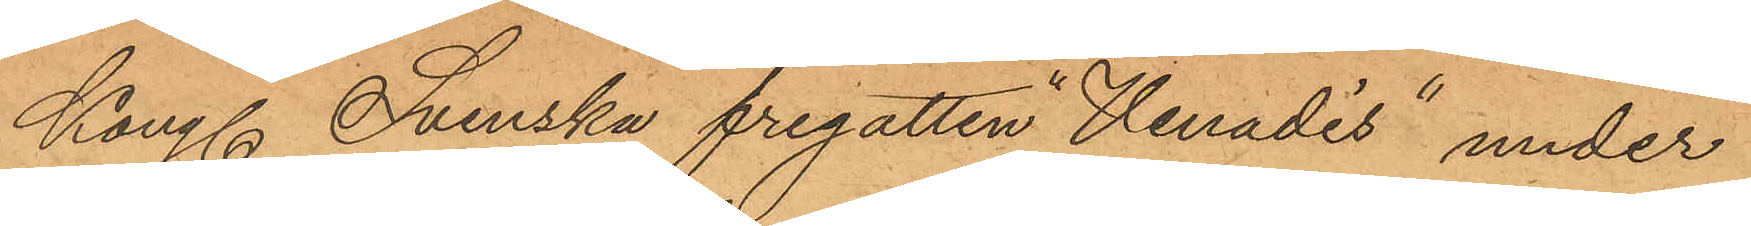Kongl. Svenska fregatten "Vanadis" under
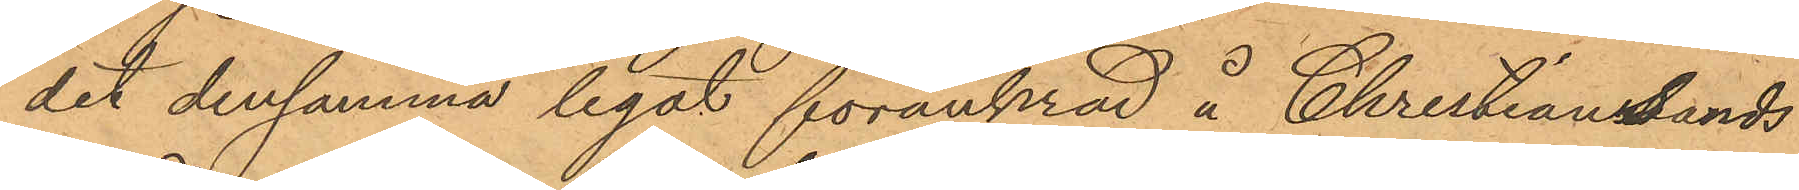det densamma legat förankrad å Christiansands
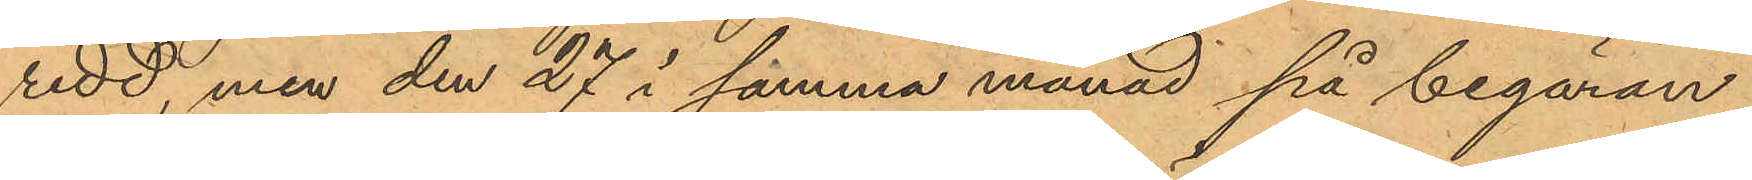redd, men den 27 i samma månad på begäran
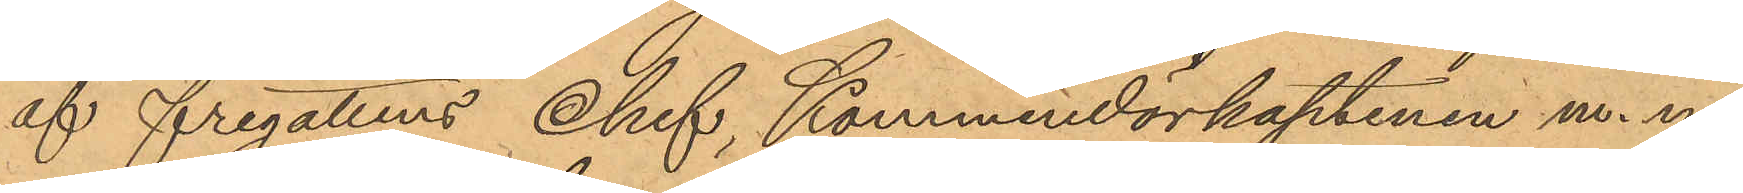af fregattens Chef, Kommendörkaptenen m. m
